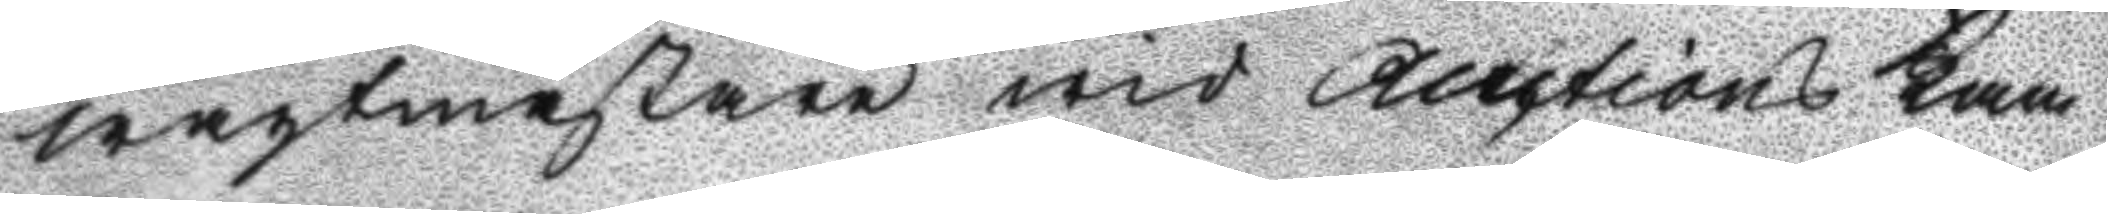wagtmästare wid Auctions Kam¬
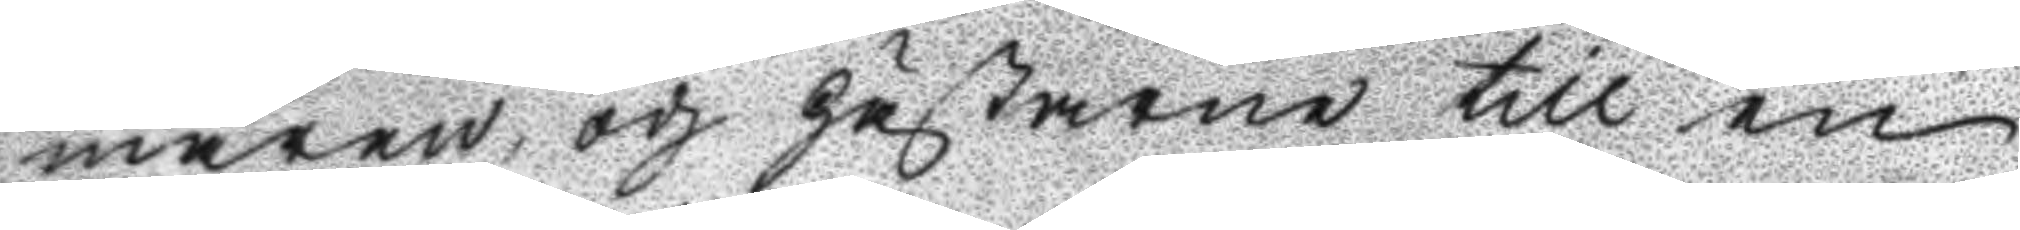maren, och hästarne till en
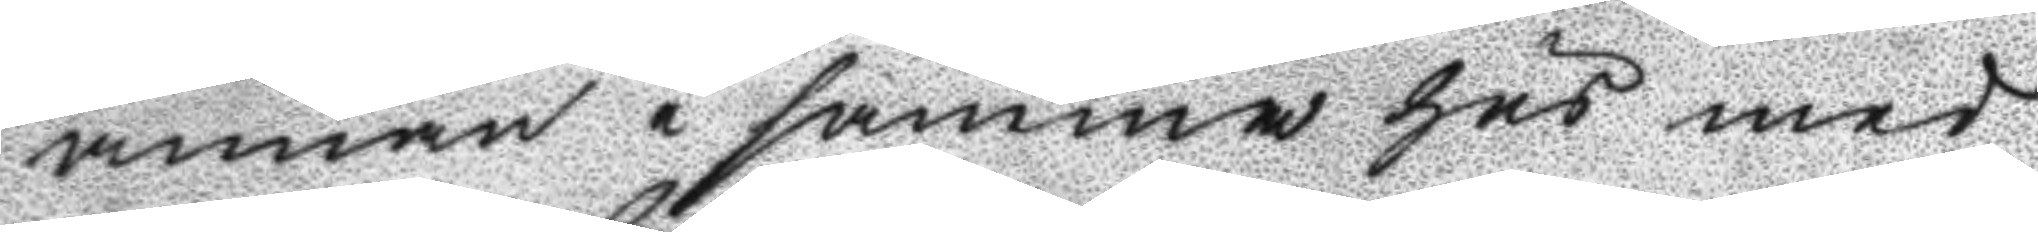annan i samm hus med
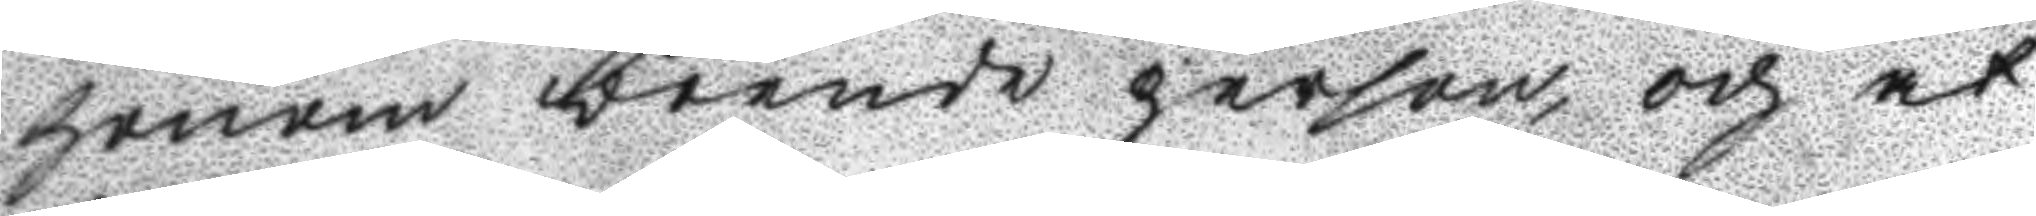honom boende person, och at
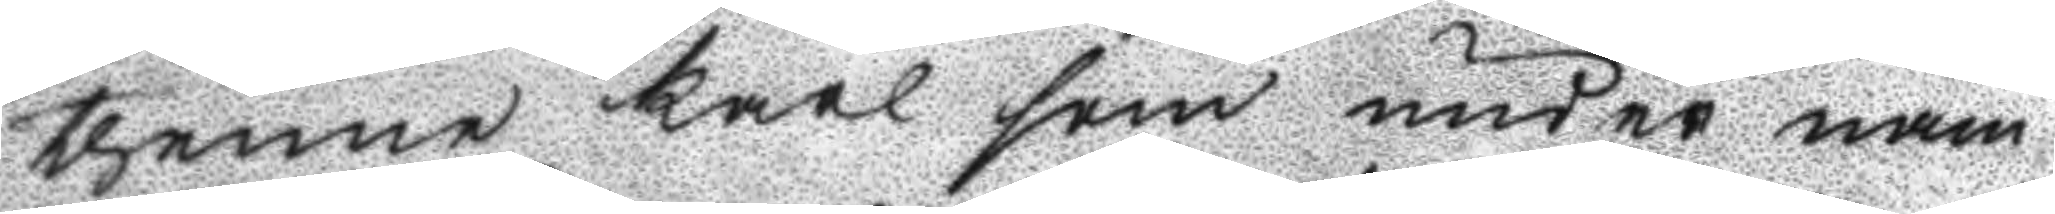thenne karl som under nam
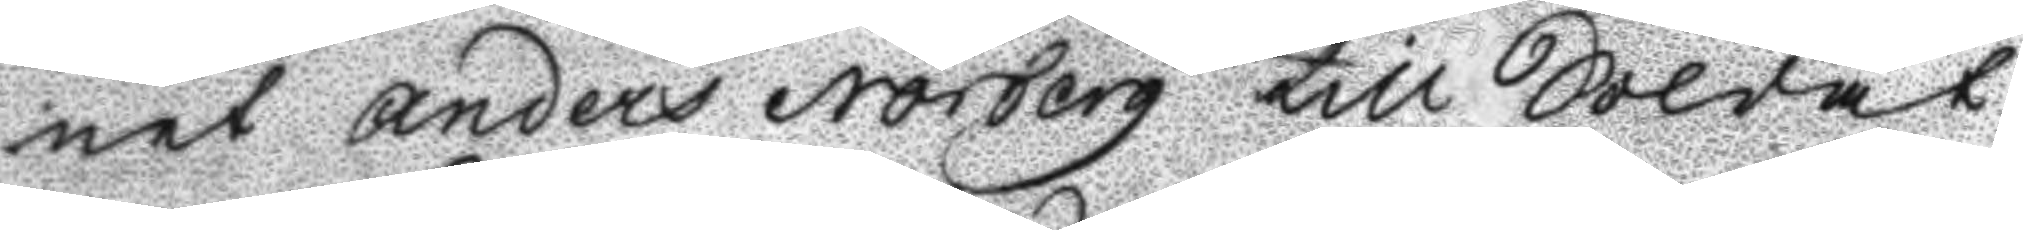net Anders Norberg till Soldat
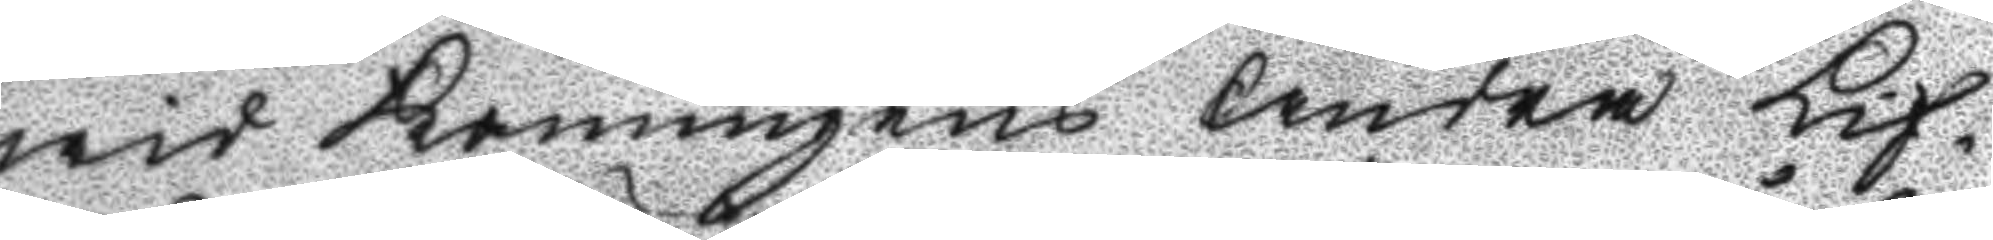wid Konungens Andra Lif¬
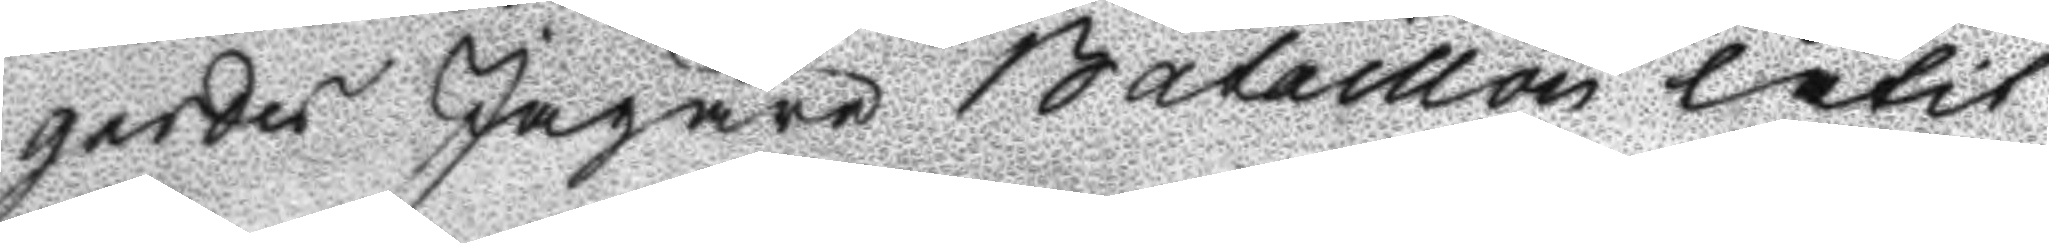gardes Jägare Bataillon låtit
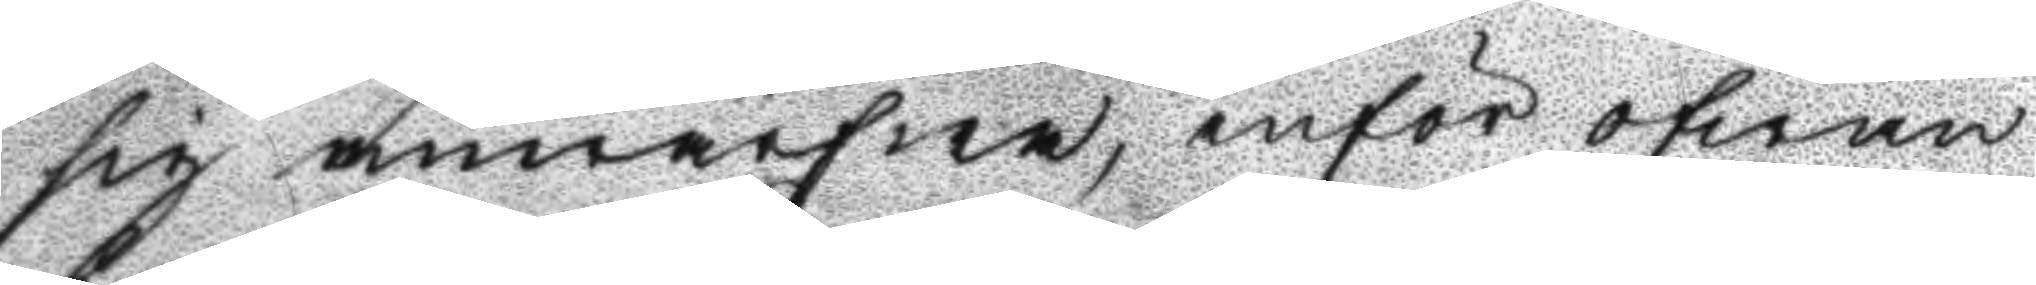sig anwärfwa, inför ofwan
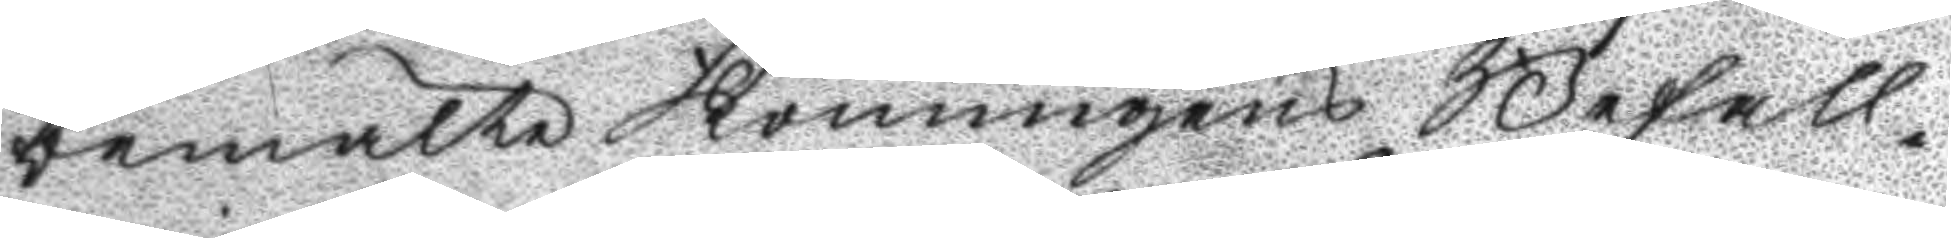bemälte Konungens Befall¬
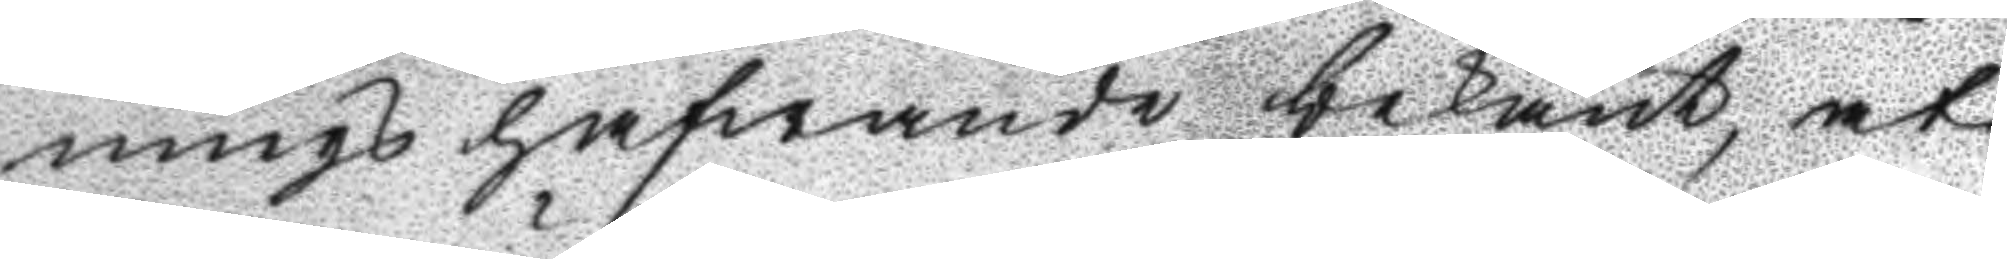nings hafwande bekänt, at
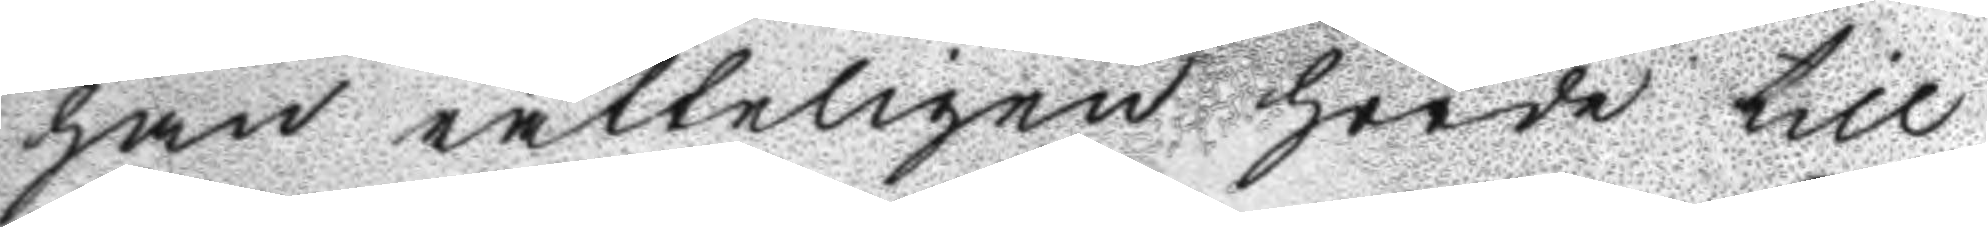han rätteligen hörde till
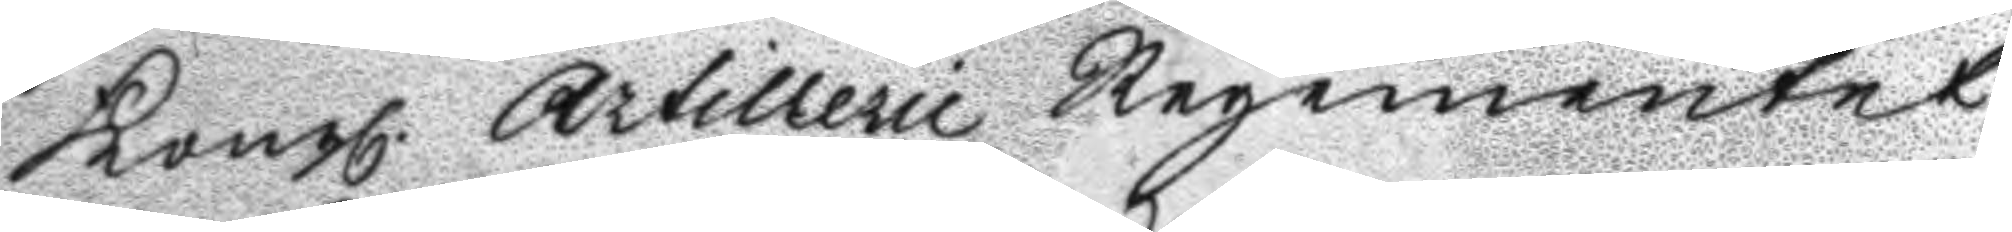Kongl. Artillerie Regementet
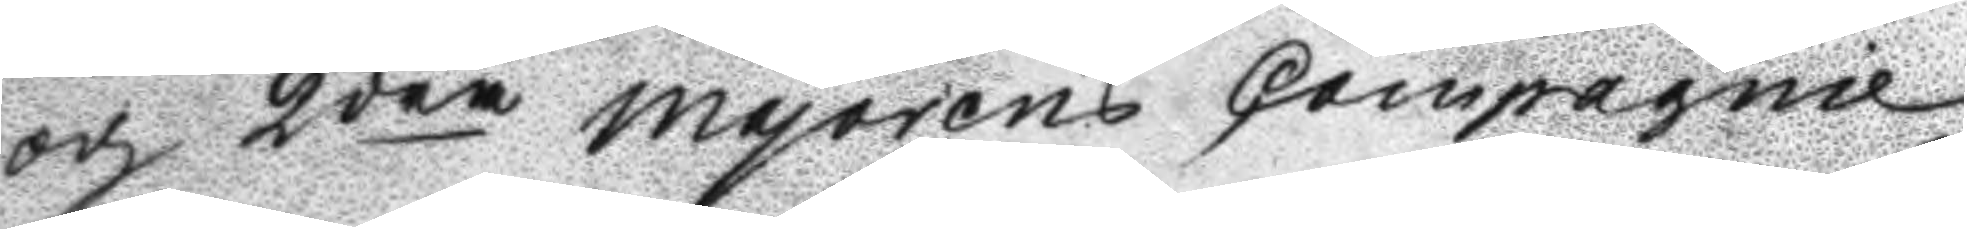och 2dra Majorens Compagnie
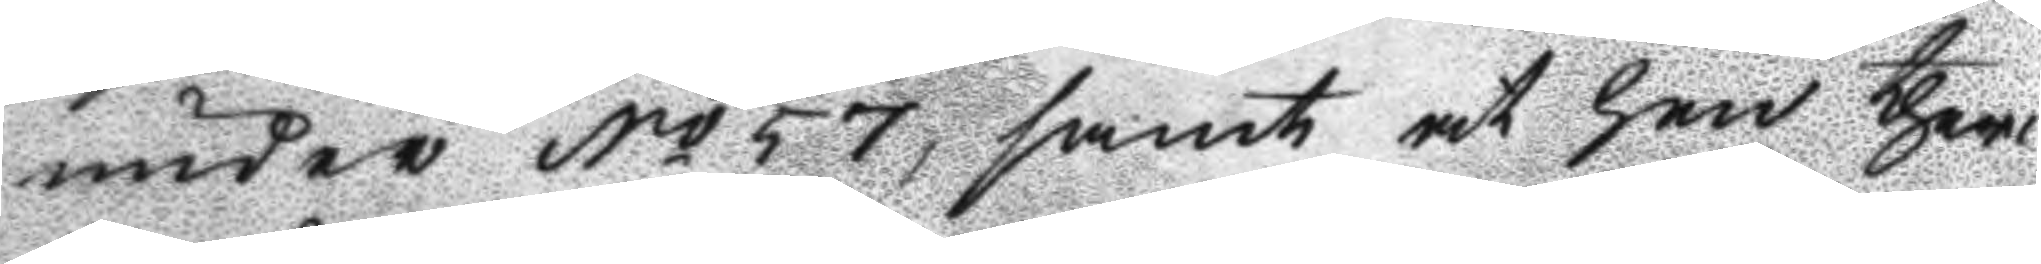under No 57, samt at han theri
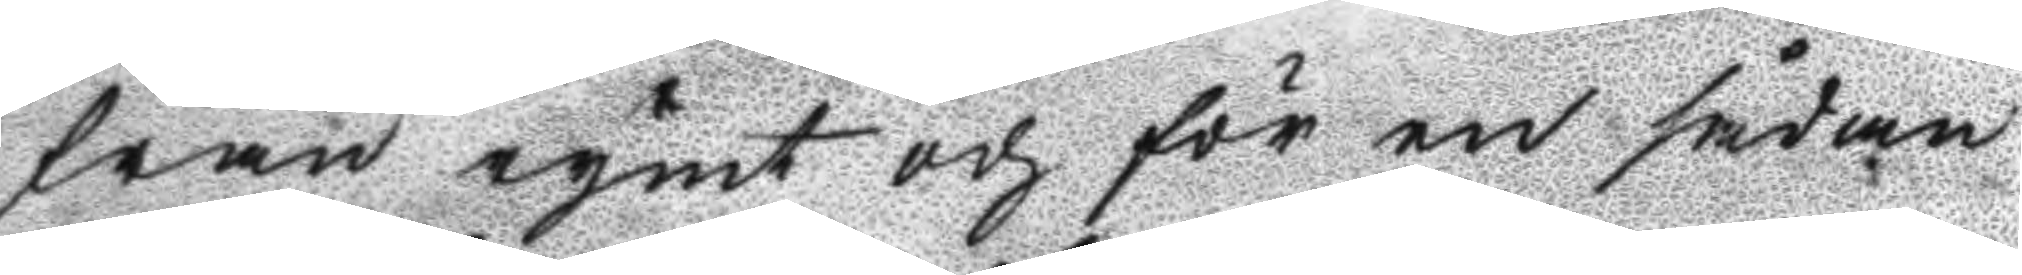från rymt och för en sådan
